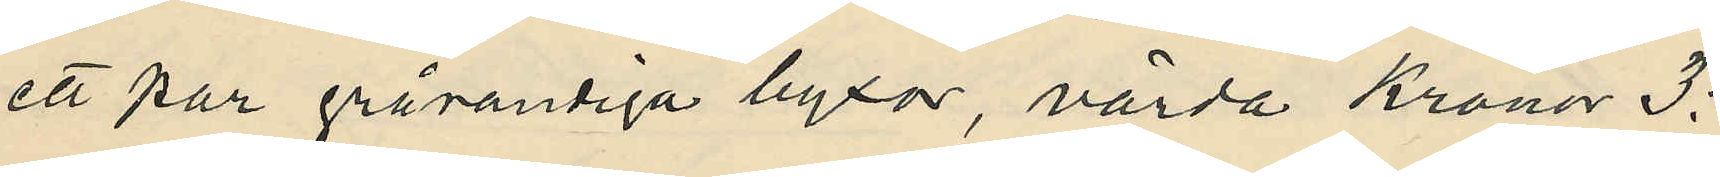ett par grårandiga byxor, värda Kronor 3:
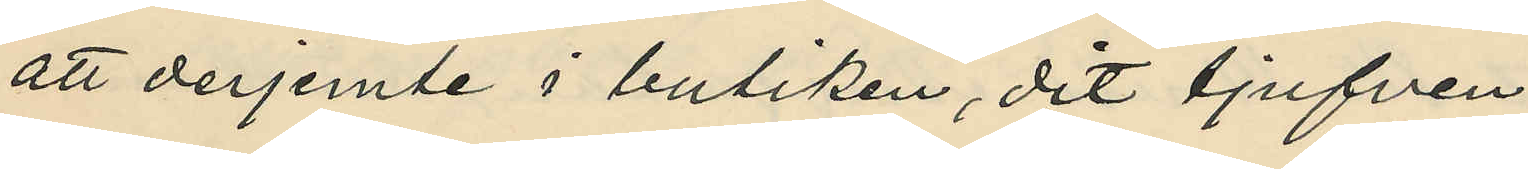att derjemte i butiken, dit tjufven
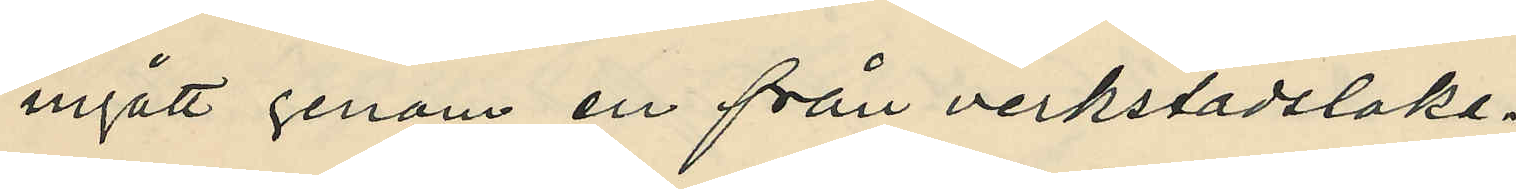ingått genom en från verkstadsloka¬
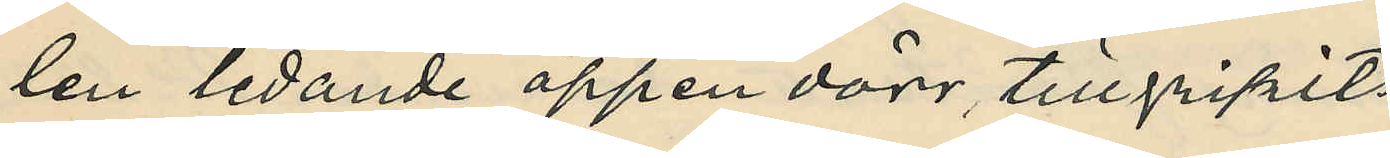len ledande öppen dörr, tillgripits
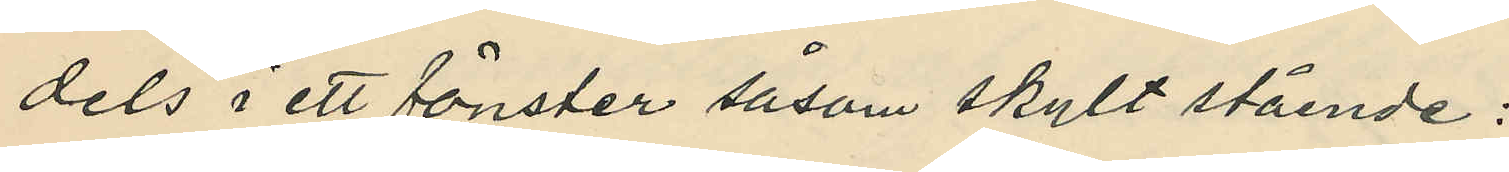dels i ett fönster såsom skylt stående:
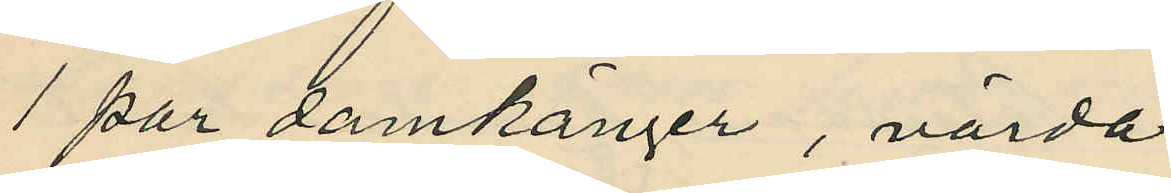1 par damkänger, värda
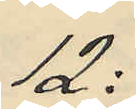12:
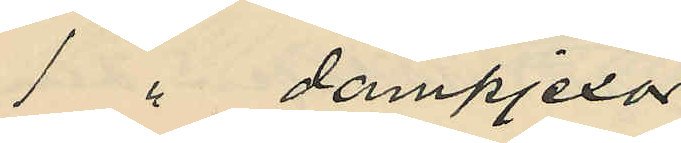1 " dampjexor
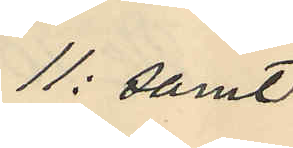11: samt
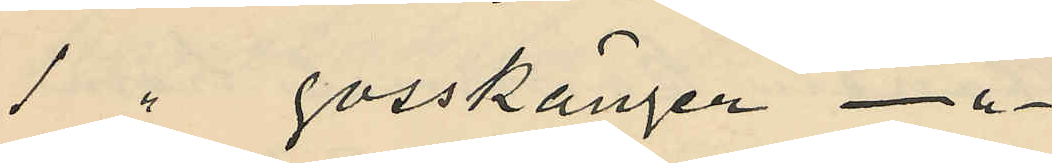1 " gosskänger - " -
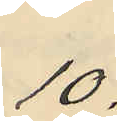10:
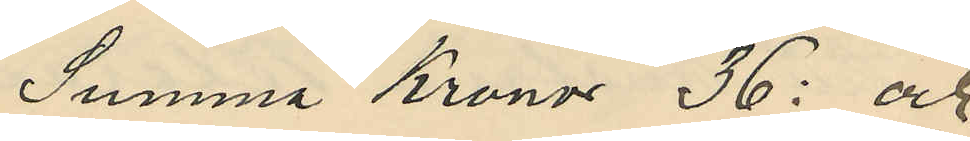Summa Kronor 36: och
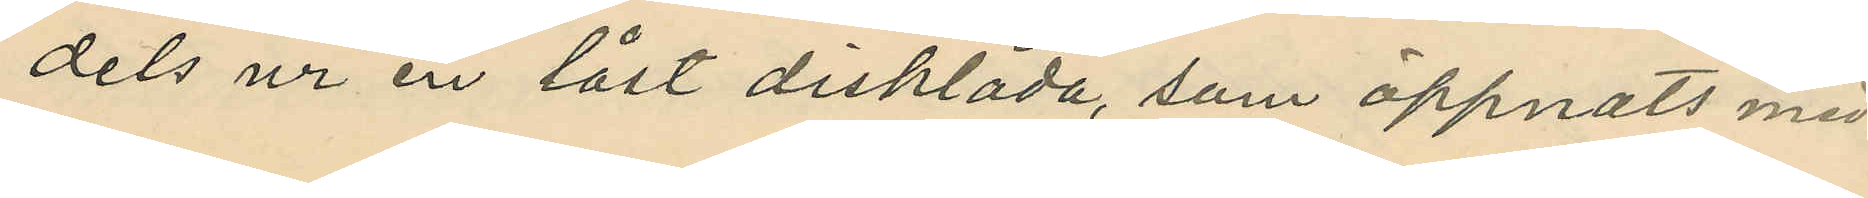dels ur en låst disklåda, som öppnats med
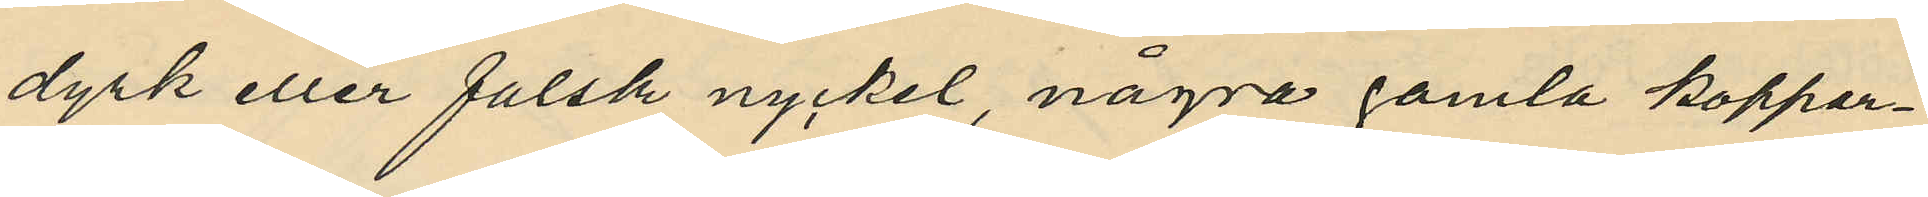dyrk eller falsk nyckel, några gamla koppar¬
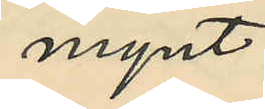mynt.
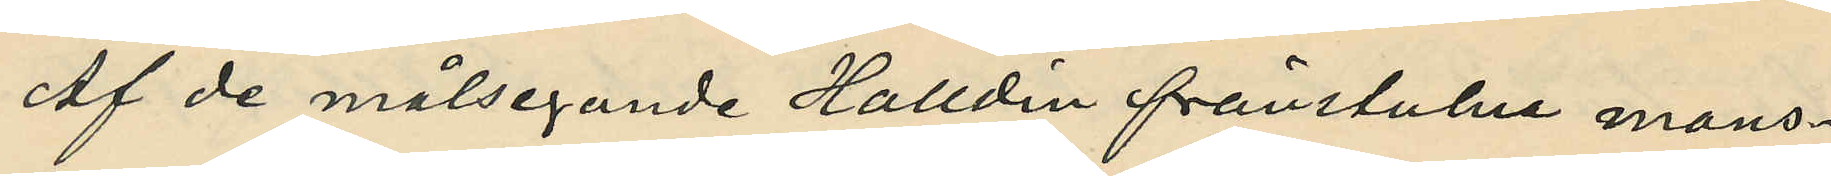Af de målsegande Halldin frånstulna mans¬
